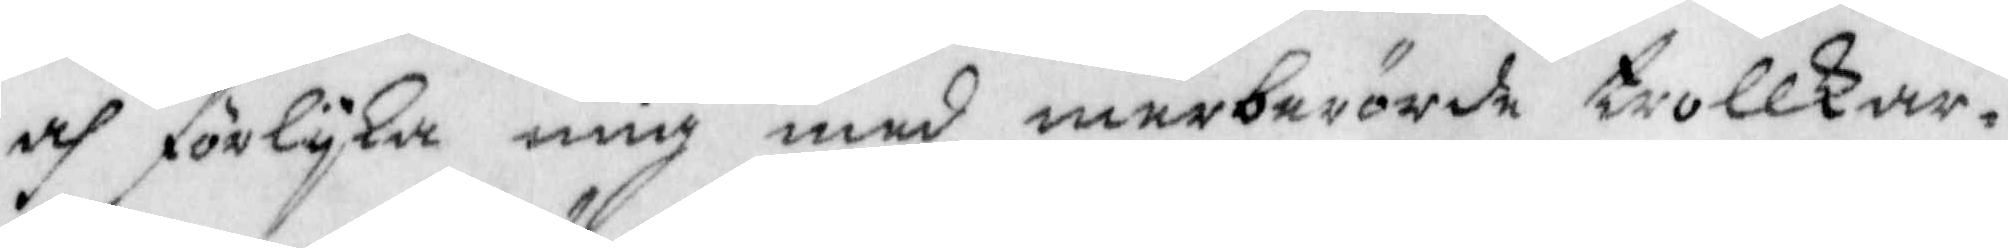och förlyka mig med merberörde trollkar¬
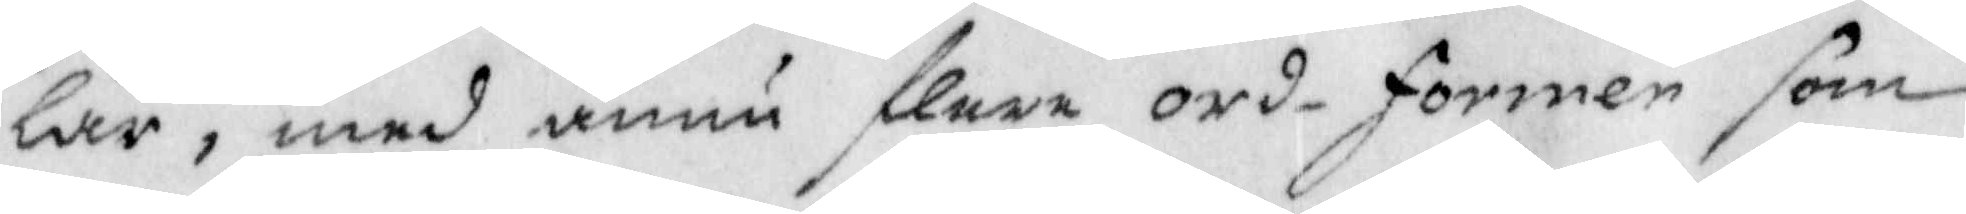lar, mws ännu flera ord-former som
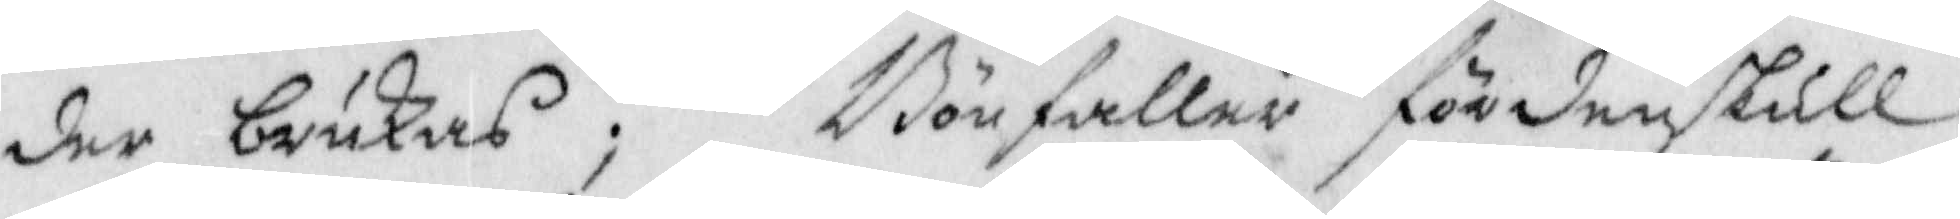der brukas; Bönfaller fördenskull
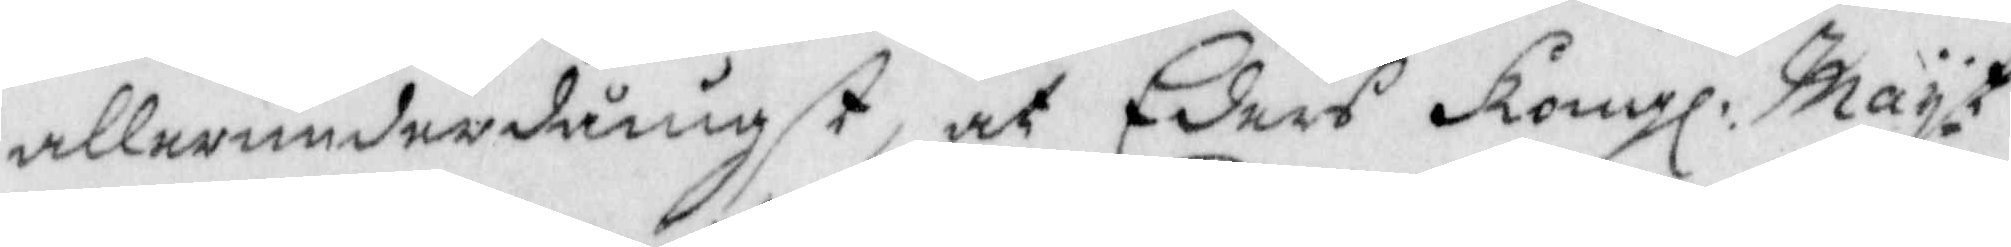alleerunderdånigst, at Eders Kongl: Mayt
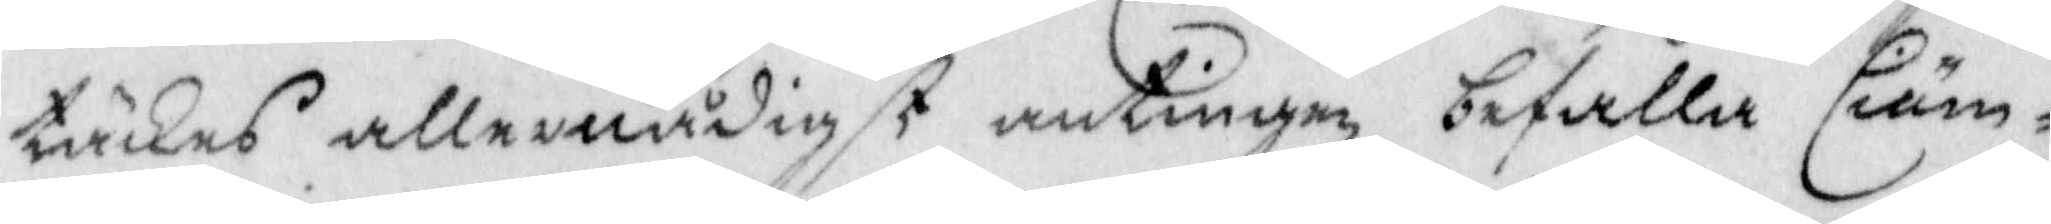täckes allernådigst antingen befalla Ciäm¬
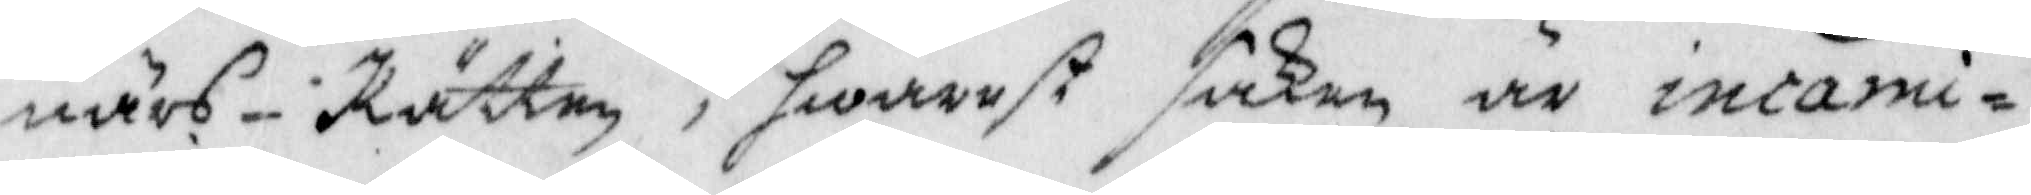närs-Rätten, hwarest saken är incami¬
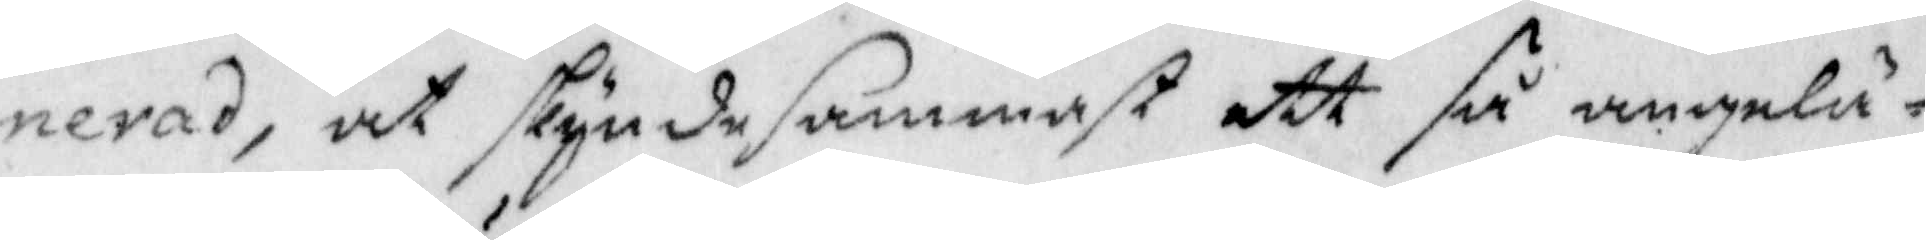nerad, at skyndsammast ett så angelä¬
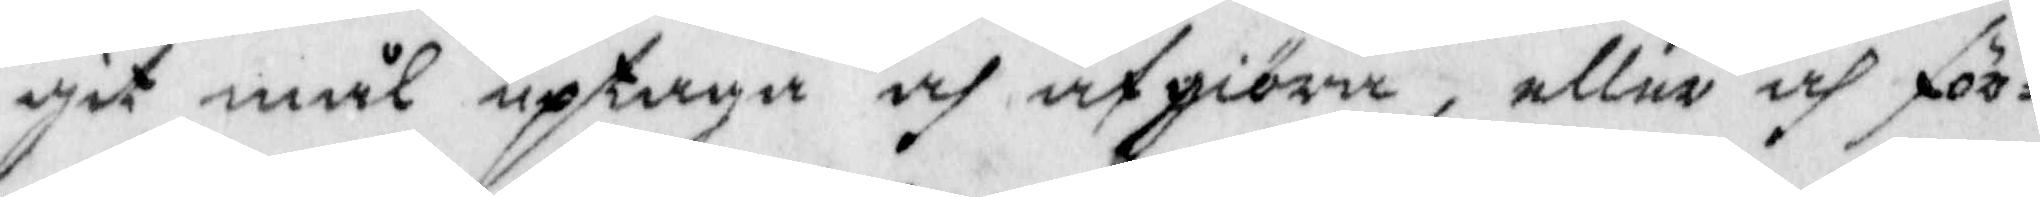git mål uptaga och afgiöra, eller och för¬
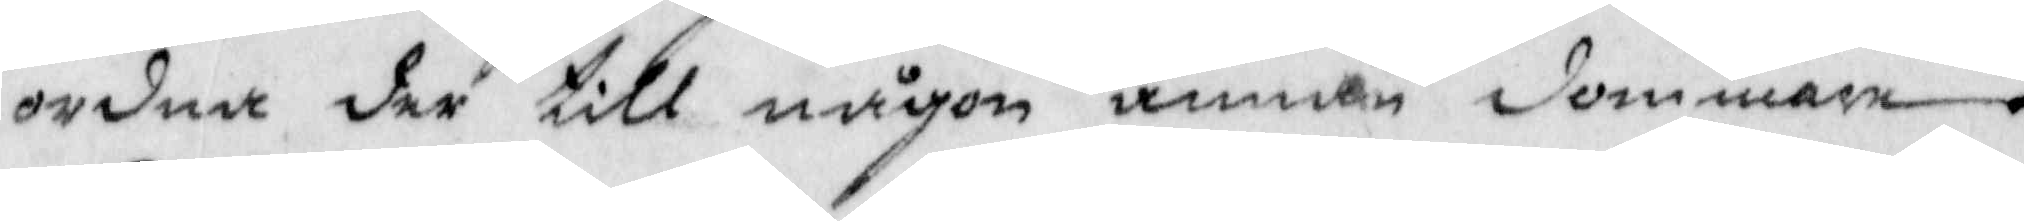ordna der till någon annan dommare.
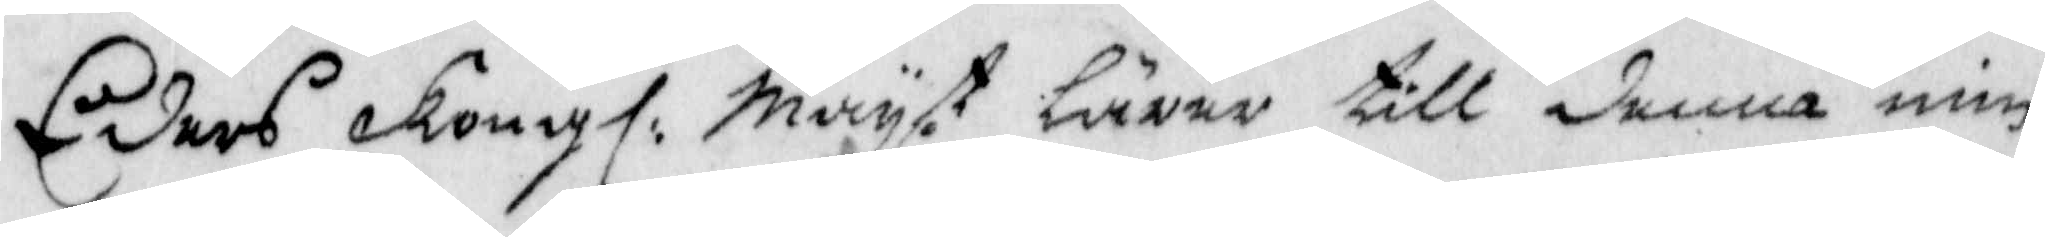Eders Kongl: Mayt. lärer till denna min
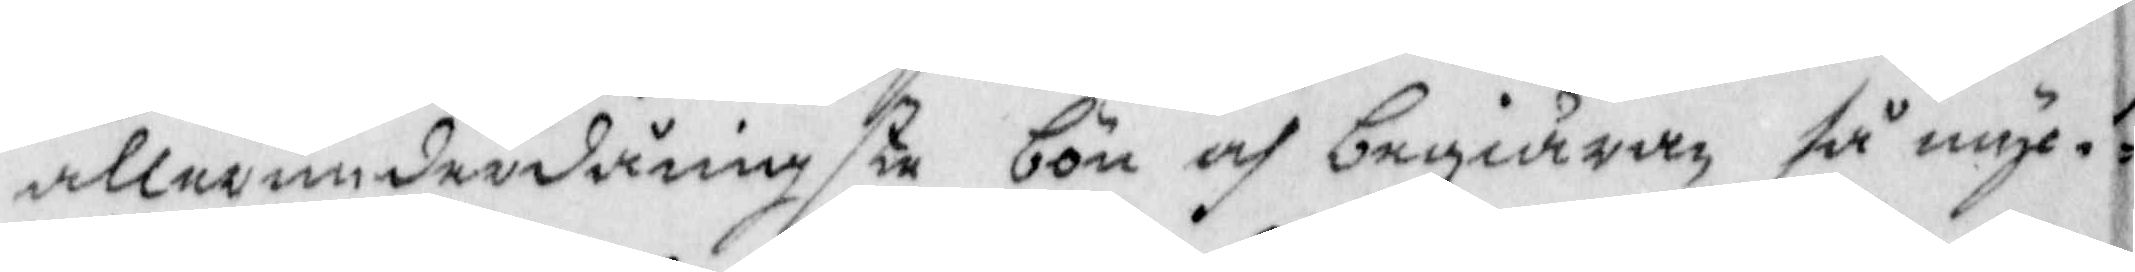allerunderdånigste bön och begiäran så myc¬
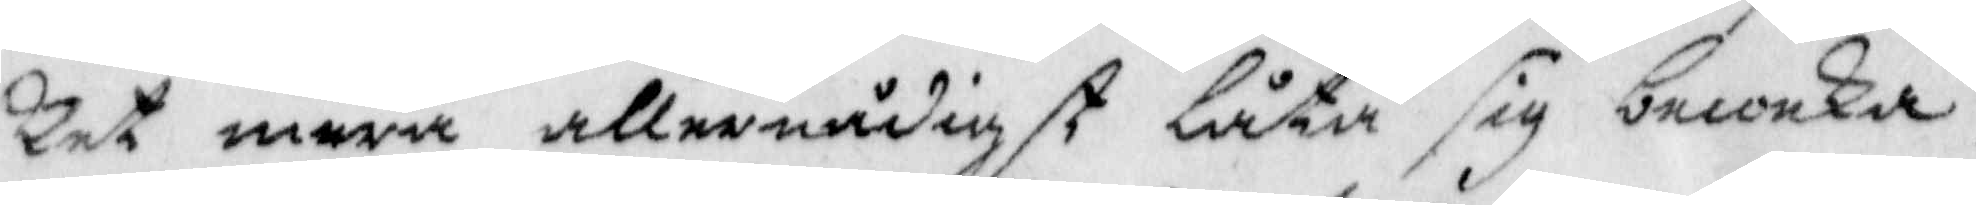ket mera allernådigst låta sig beweka,
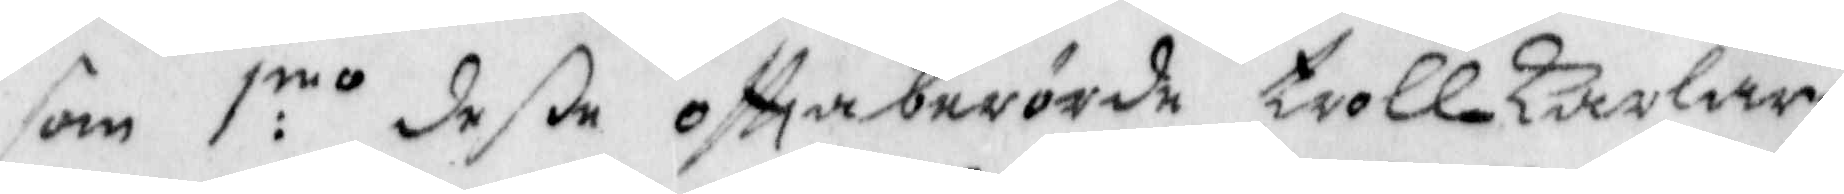som 1:mo deße ofttaberörde trollkarlar
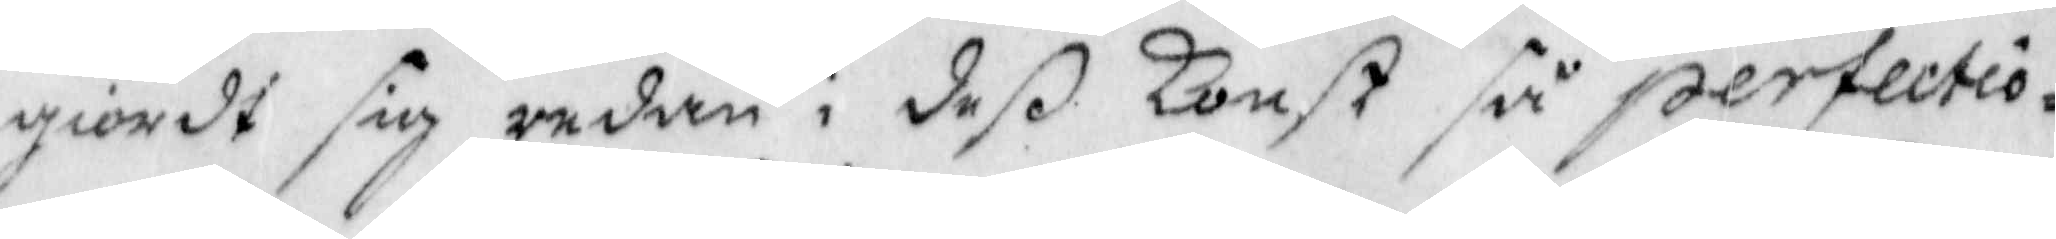giordt sig redan i deß konst så perfectio¬
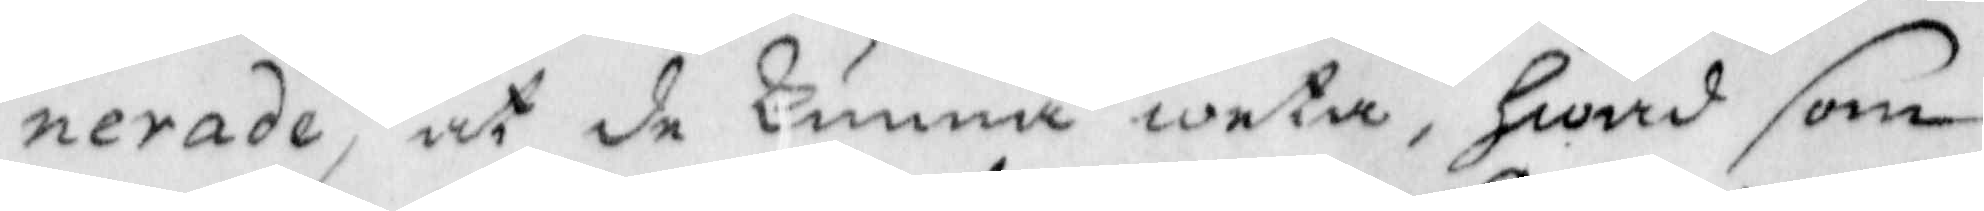nerade, at de kunna weta, Hwad som
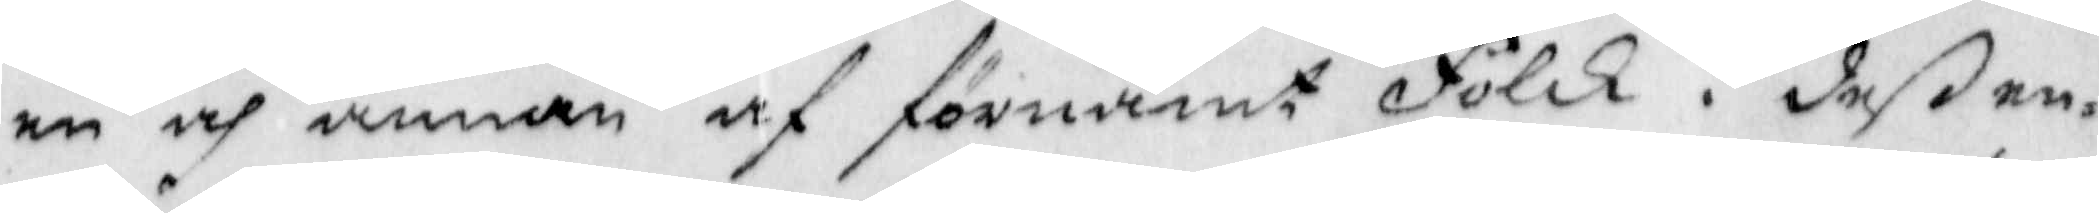en och annan af förnämt Folck i deß en¬
